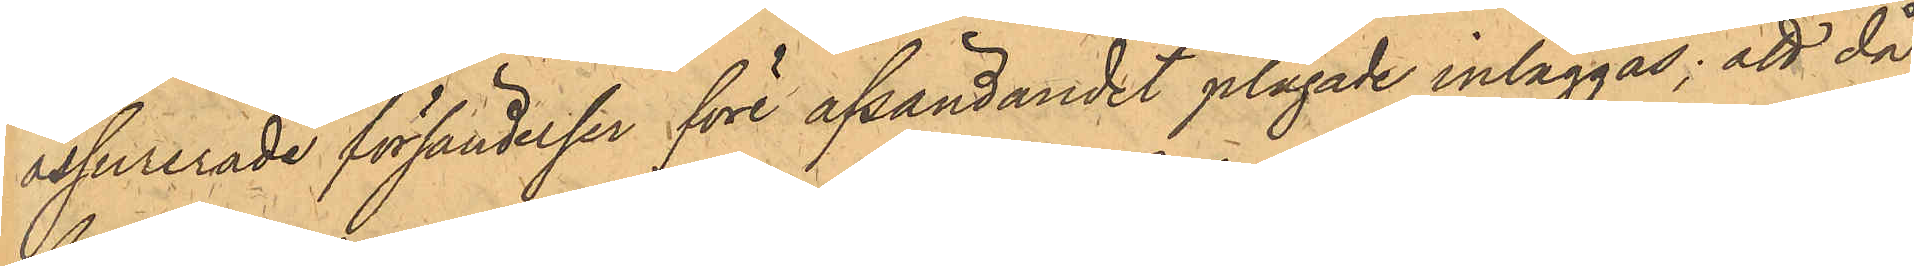assurerade försändelser före afsändandet plägade inläggas; att då
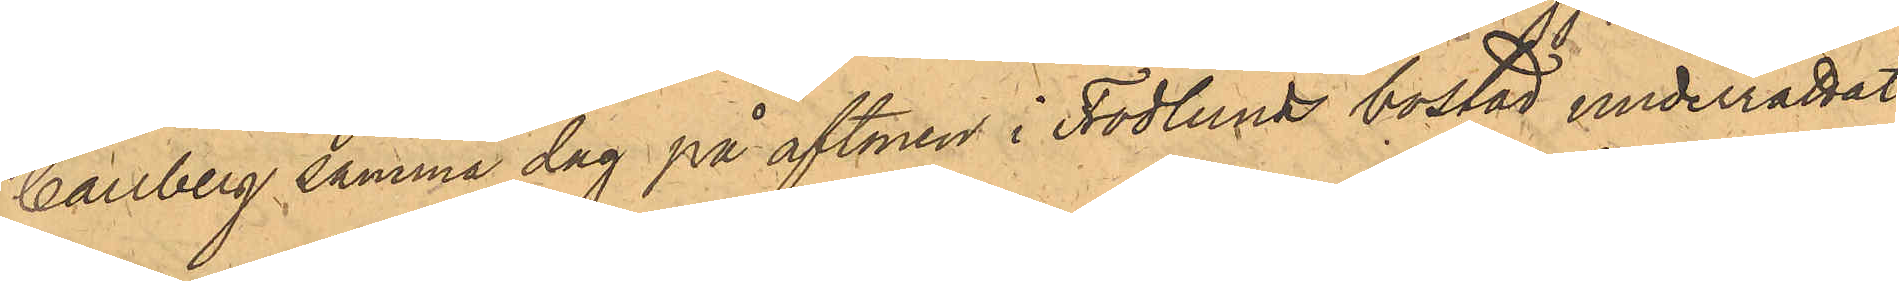Carlberg samma dag på aftonen i Frodlunds bostad underrättat
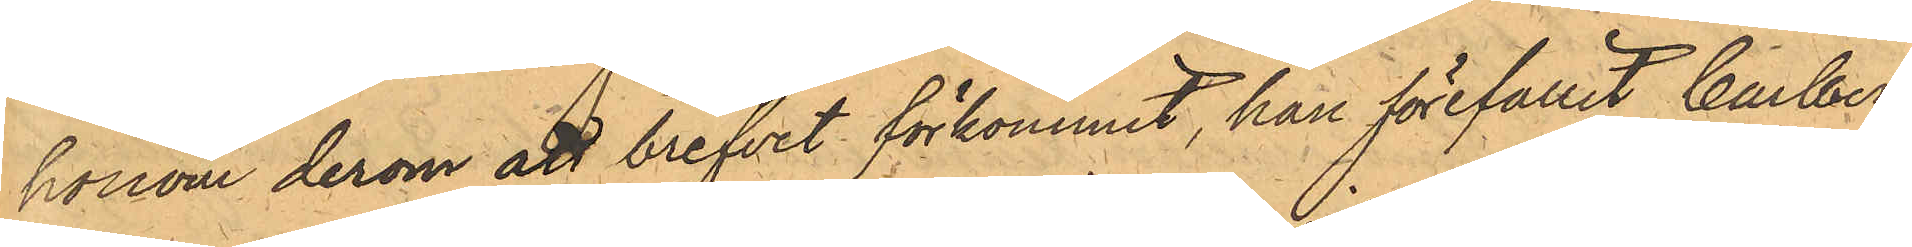honom derom att brefvet förkommit, han förefallit Carlberg
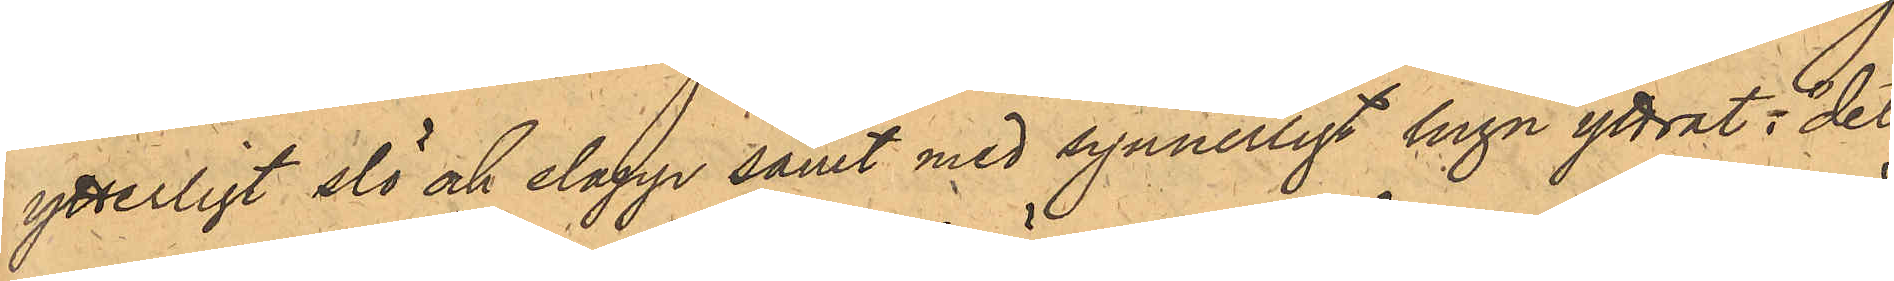ytterligt slö och slapp samt med synnerligt lugn yttrat: "det
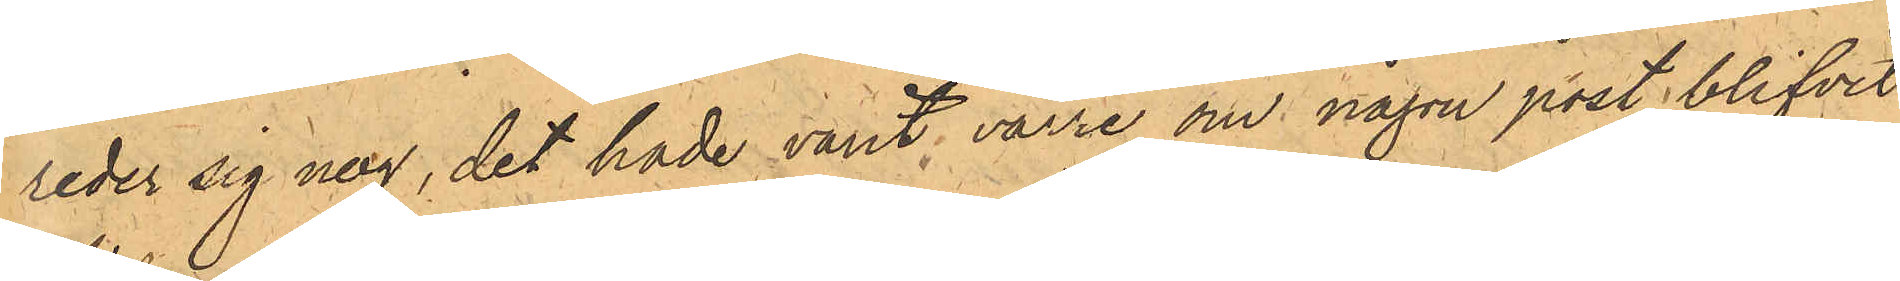reder sig nog, det hade varit värre om någon post blifvit
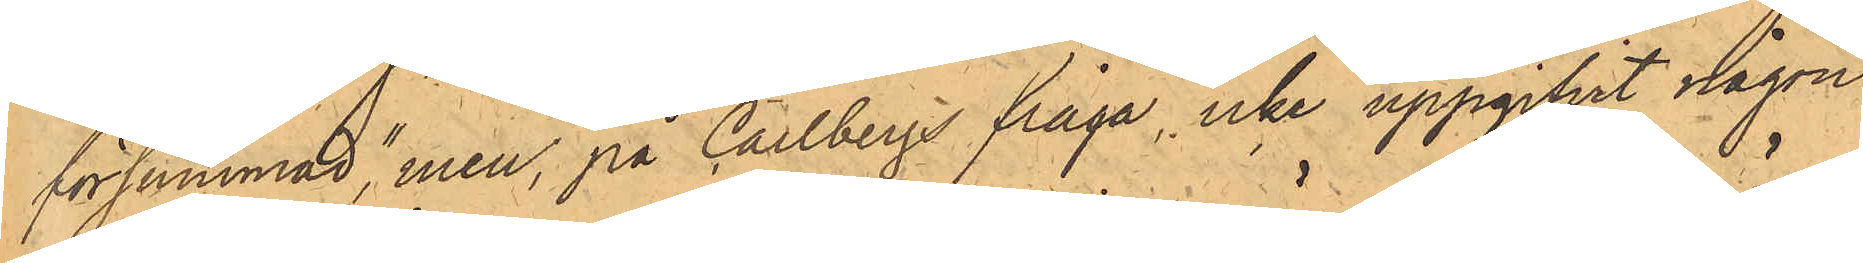försummad", men, på Carlbergs fråga, icke uppgifvit någon
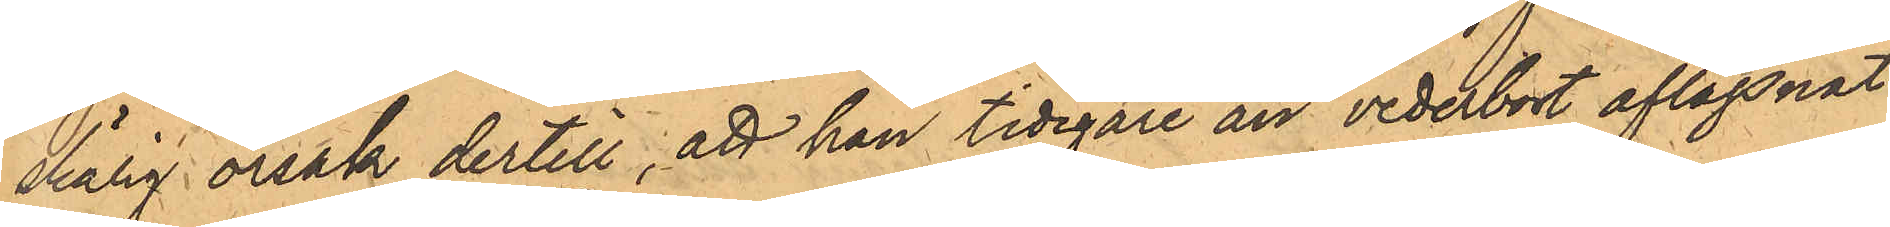skälig orsak dertill; att han tidigare än vederbort aflägsnat
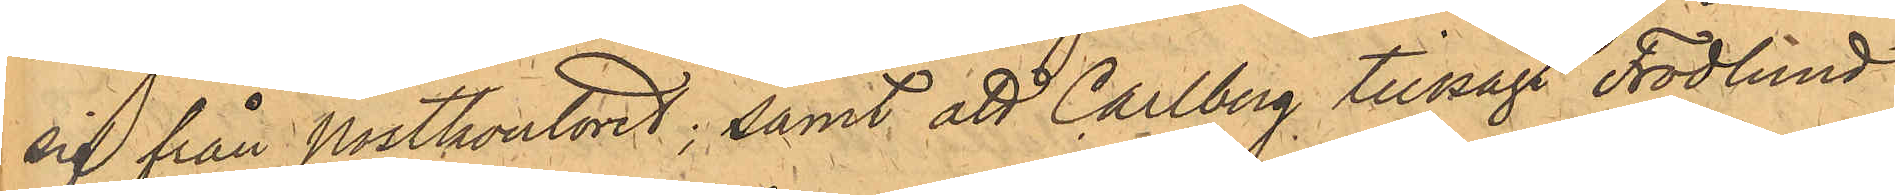sig från Postkontoret; samt att Carlberg tillsagt Frodlund
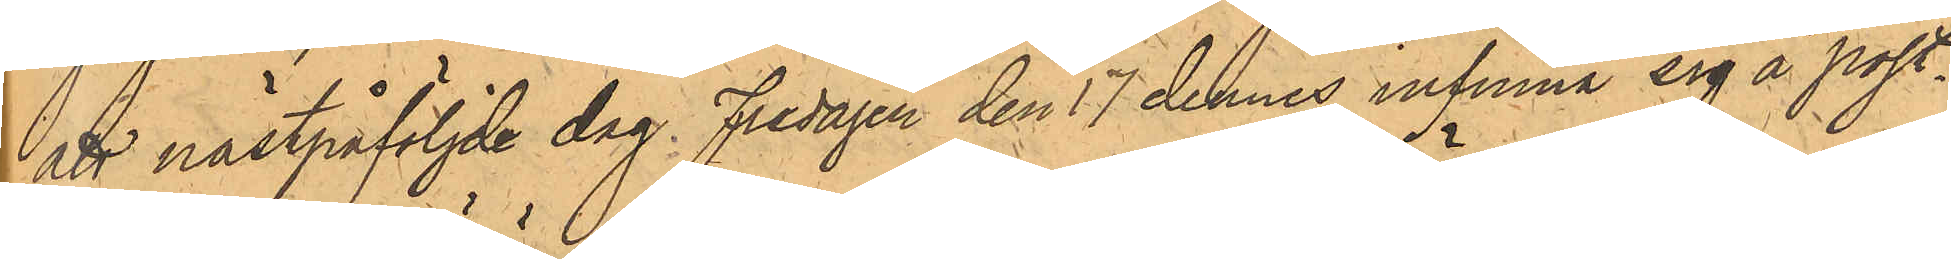att nästpåföljde dag Fredagen den 17 dennes infinna sig å post¬
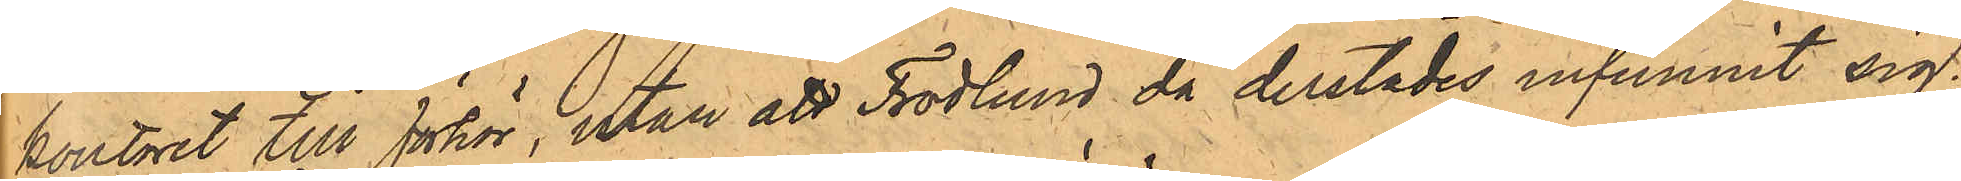kontoret till förhör, utan att Frodlund då derstädes infunnit sig.
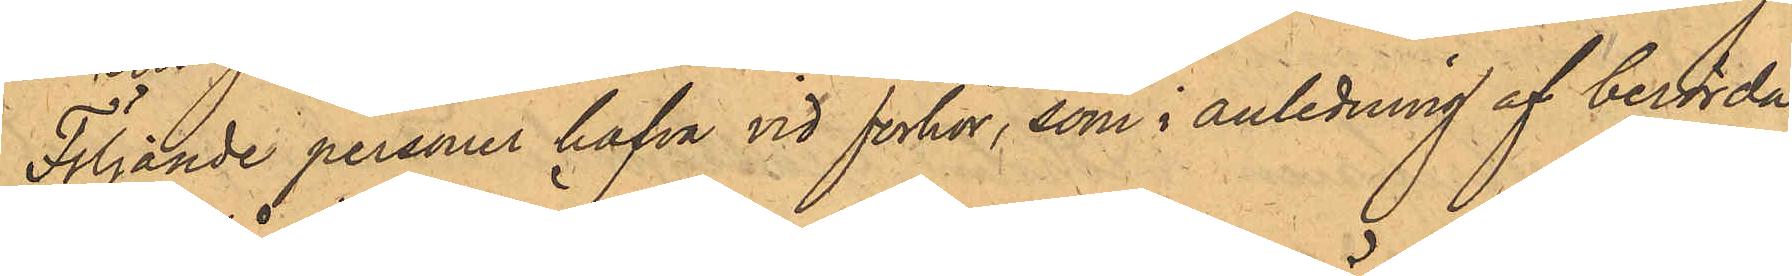Följande personer hafva vid förhör, som i anledning af berörda
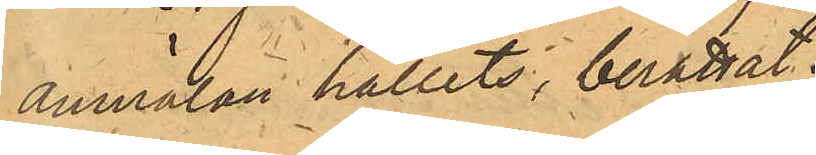anmälan hållits, berättat:
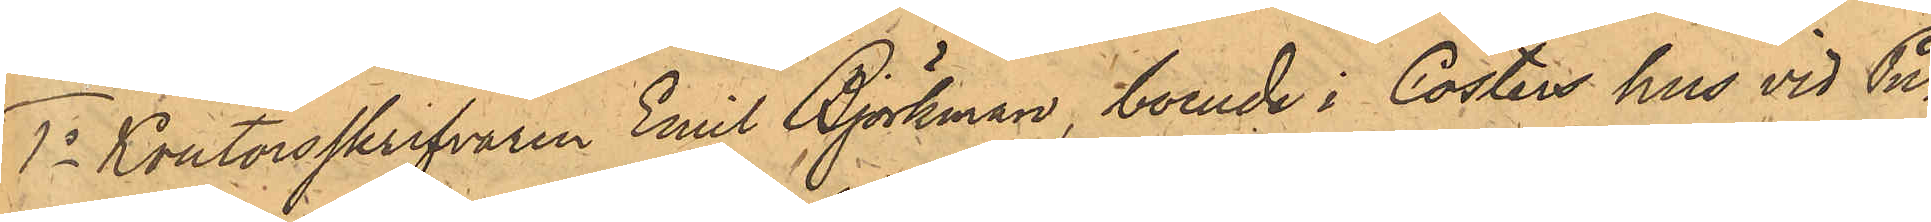1o Kontorsskrifvaren Emil Björkman, boende i Cösters hus vid Pu¬
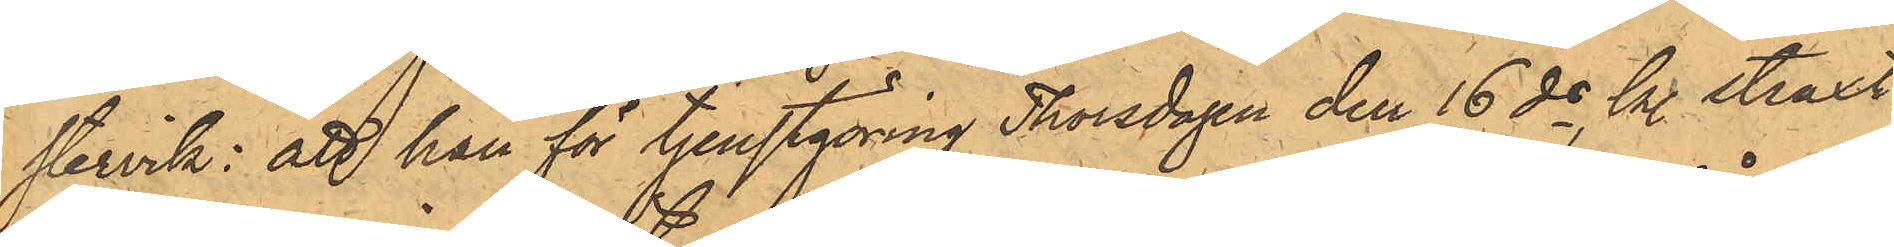stervik: att han för tjenstgöring Thorsdagen den 16 ds, kl. straxt
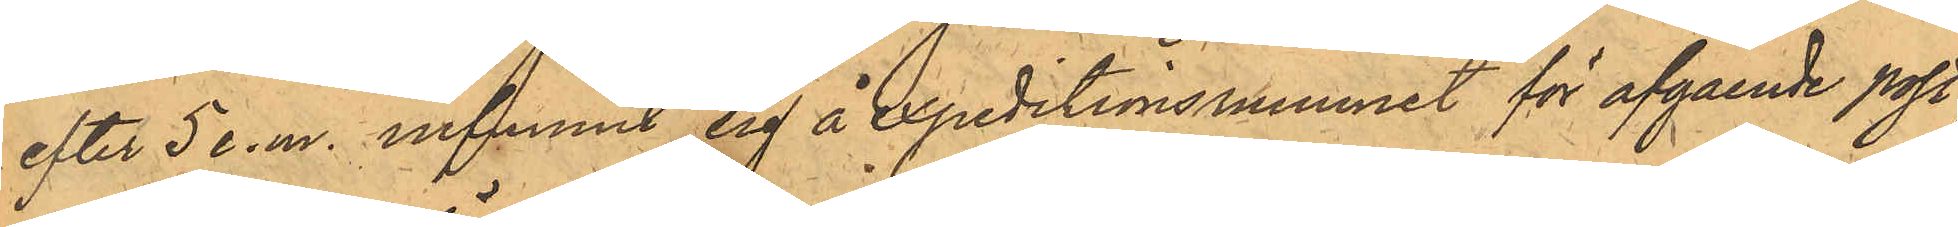efter 5 e.m. infunnit sig å Expeditionsrummet för afgående post,
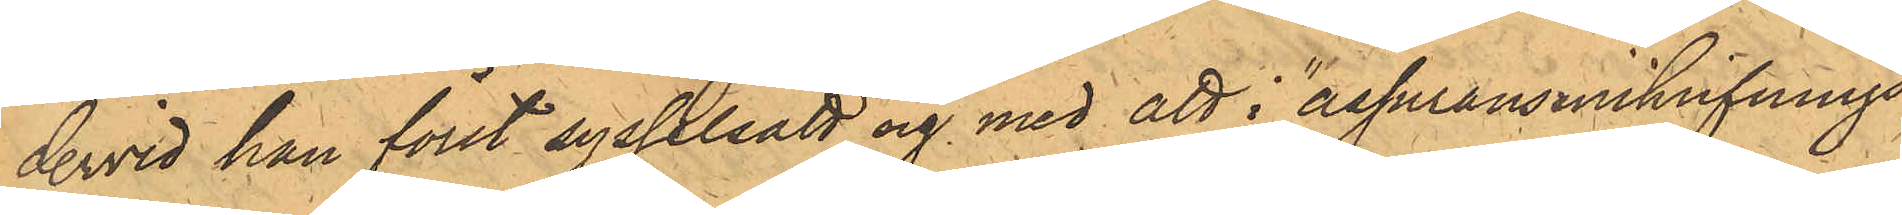dervid han först sysselsatt sig med att i "assuransinskrifnings¬
